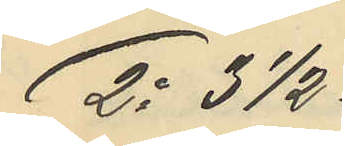2o 31/2
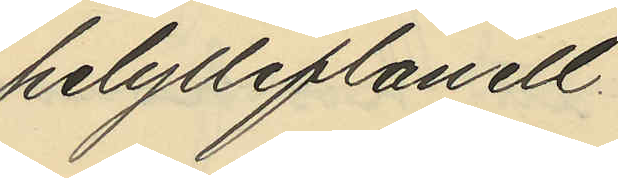helylleflanell
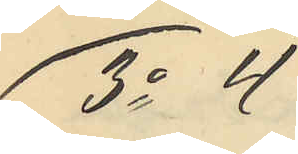3o 4
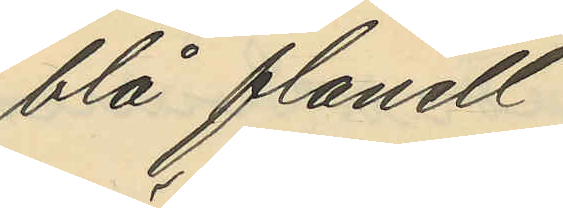blå flanel
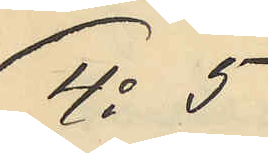4o 5
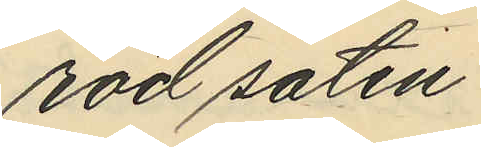röd satin
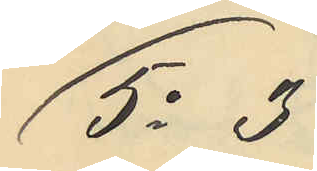5o 3
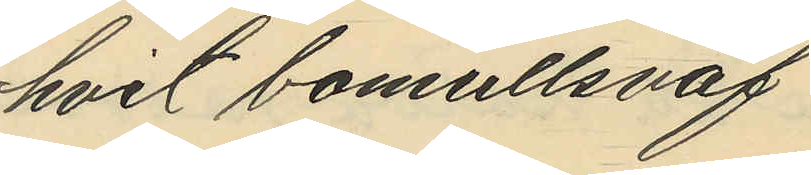hvit bomullsväf
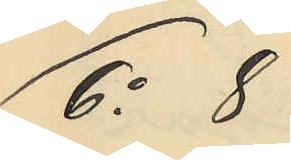6o 8
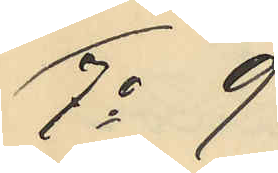7o 9
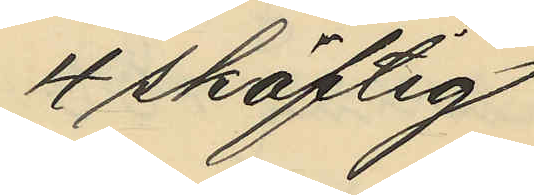4 skäftig
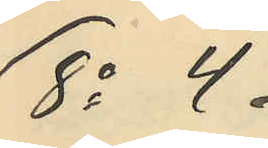8o 4.
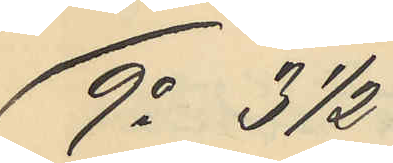9o 31/2
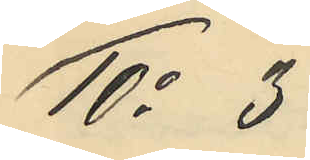10o 3
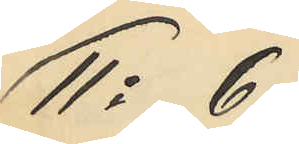11o 6
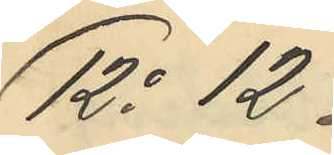12o 12.
